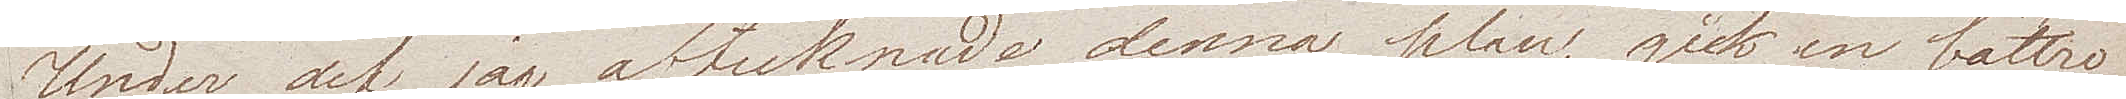Under det jag aftecknade denna plan, gick en bättre
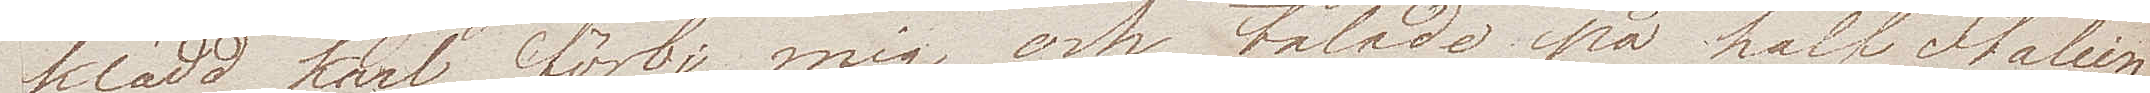klädd karl förbi mig och talade på half Italien¬
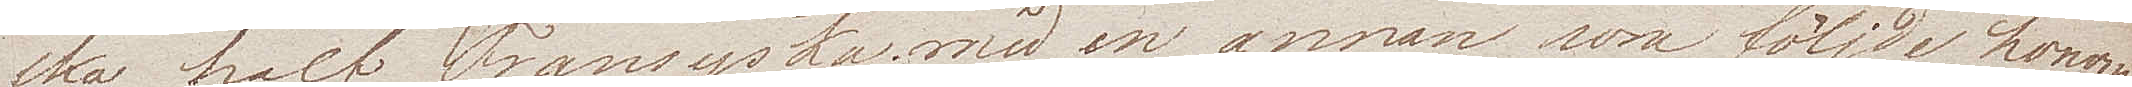ska half Fransyska med en annan som följde honom
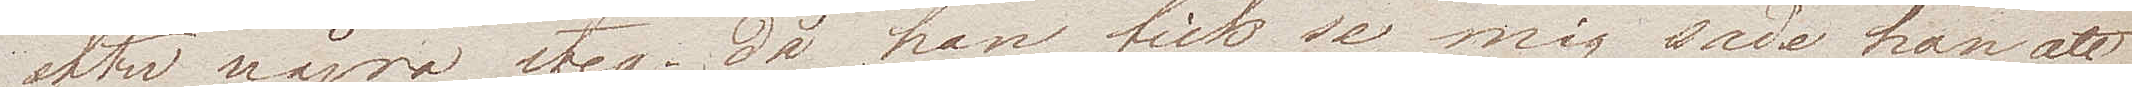efter några steg; då han fick se mig sade han att
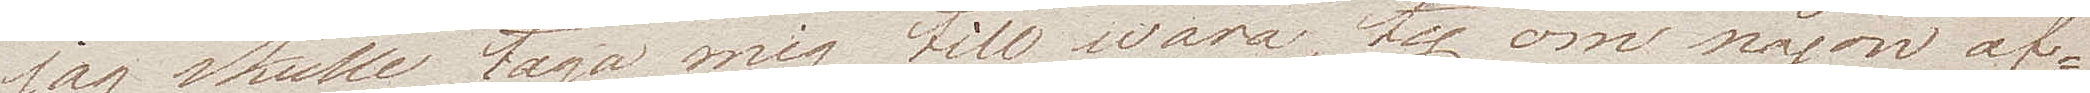jag skulle taga mig will wara, ty om någon af
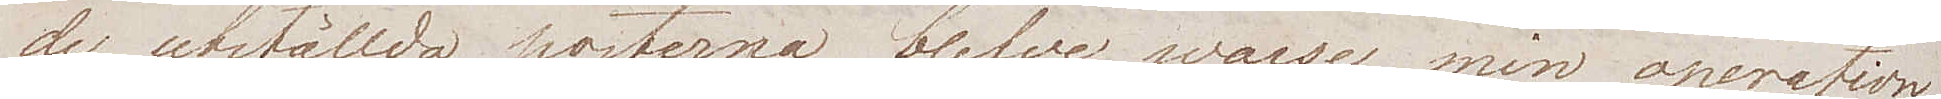de utställda posterna blefve warse min operation
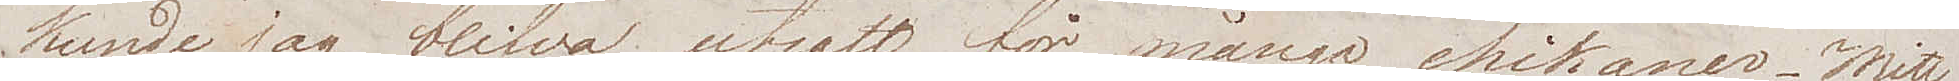kunde jag blifva utsatt för många chikaner. Mitt
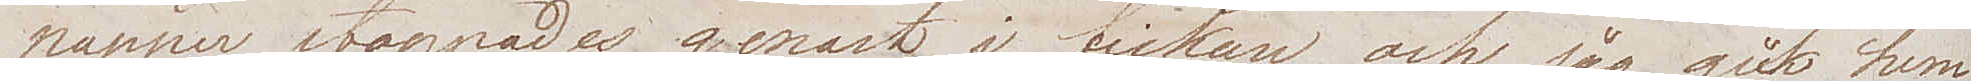papper stoppades genast i fickan och jag gick hem
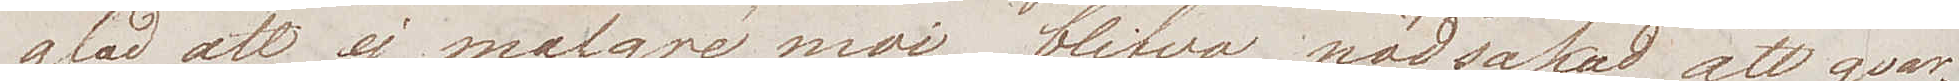glad att ej malgré moi, blifva nödsakad att qvar¬
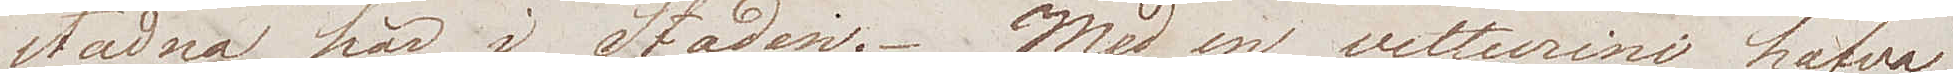stadna här i Staden. Med en vetturini hafva
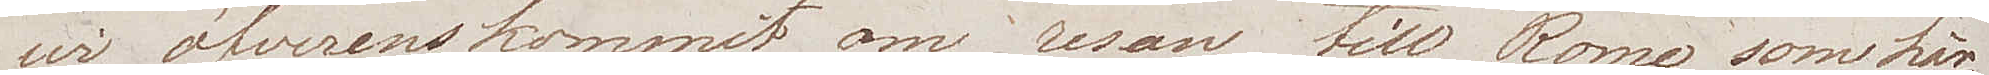wi öfverenskommit om resan till Rome som här¬
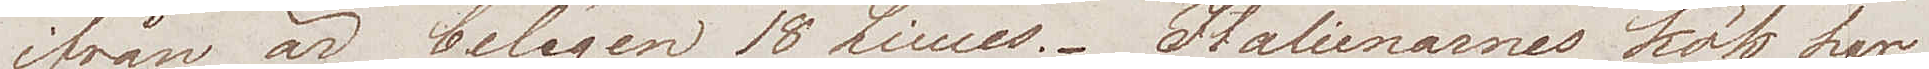ifrån är belägen 18 Lines. Italienarnes kök har
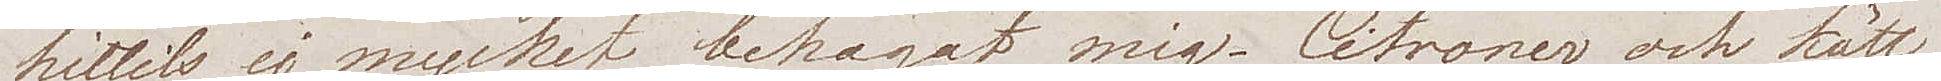hittills ej mycket behagat mig. Citroner och kött
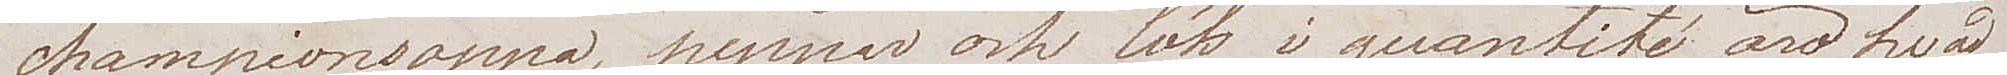championsoppa, peppar och lök i quantité äro hvad
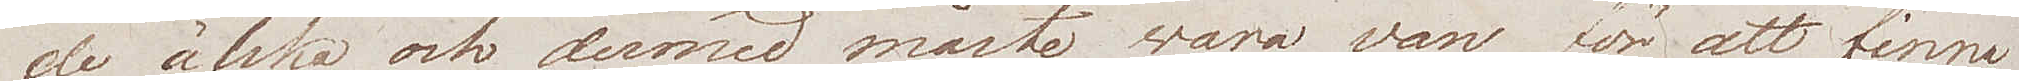de älska, och dermed måste wara van för att finna
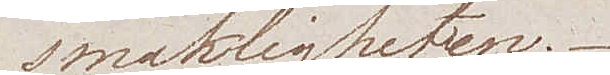smakligheten.
